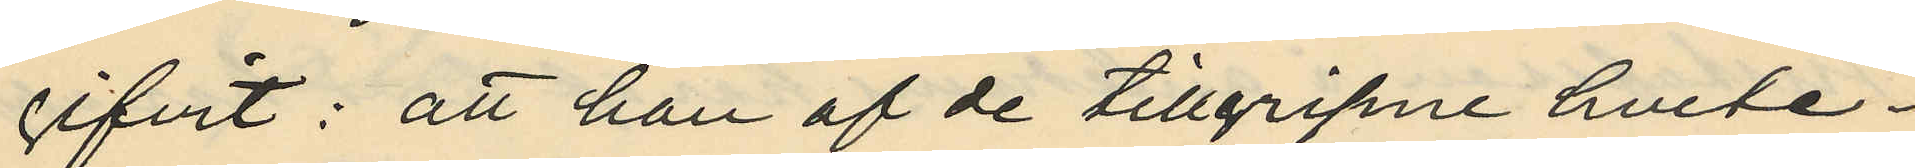gifvit: att han af de tillgripne hvete¬
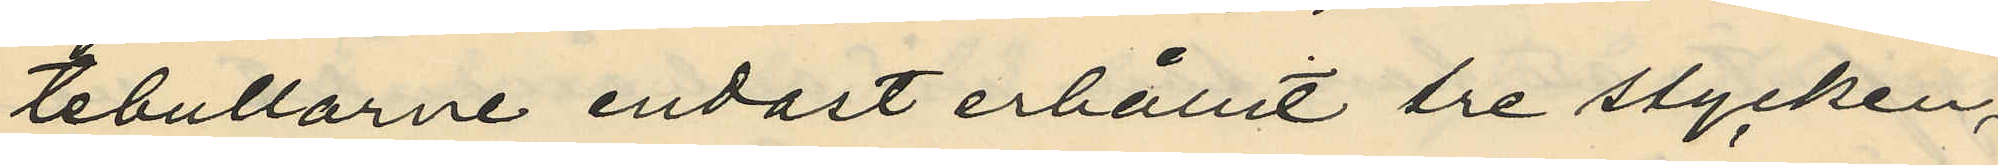tebullarne endast erhållit tre stycken,
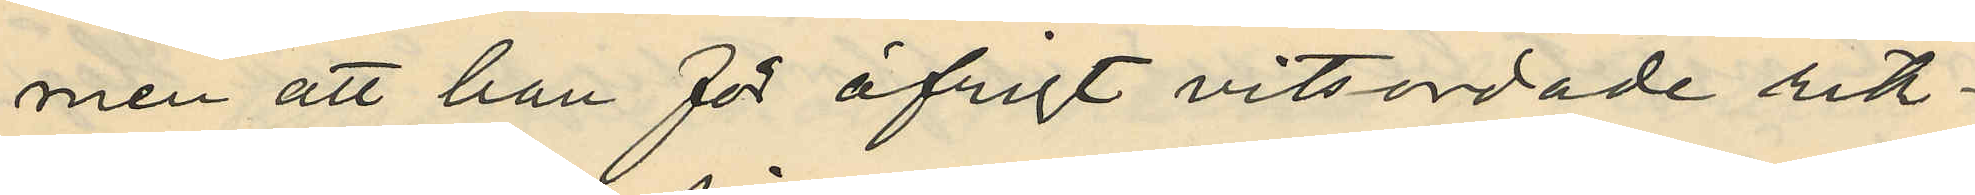men att han för öfrigt vitsordade rik¬
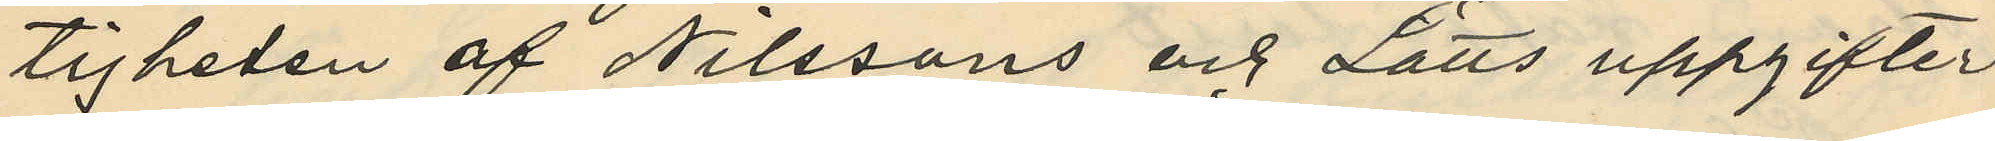tigheten af Nilssons och Lätts uppgifter
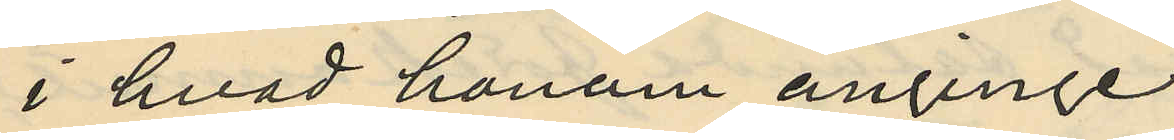i hvad honom anginge.
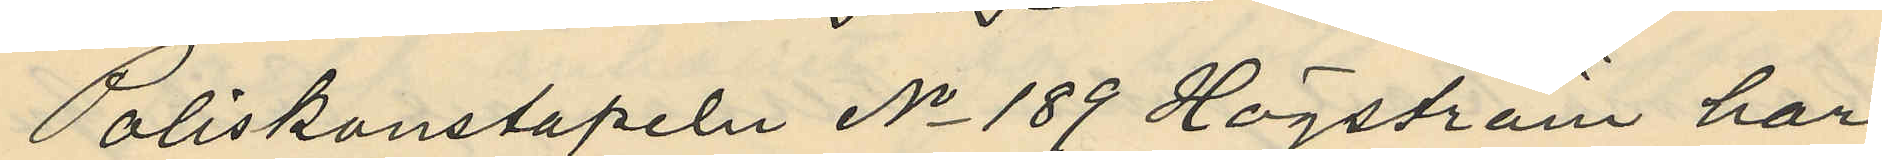Poliskonstapeln No 189 Högström har
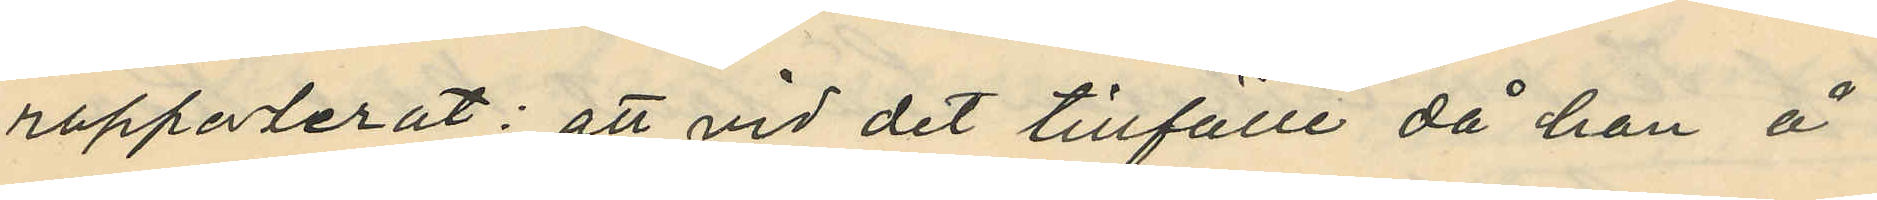rapporterat: att vid det tillfälle då han å
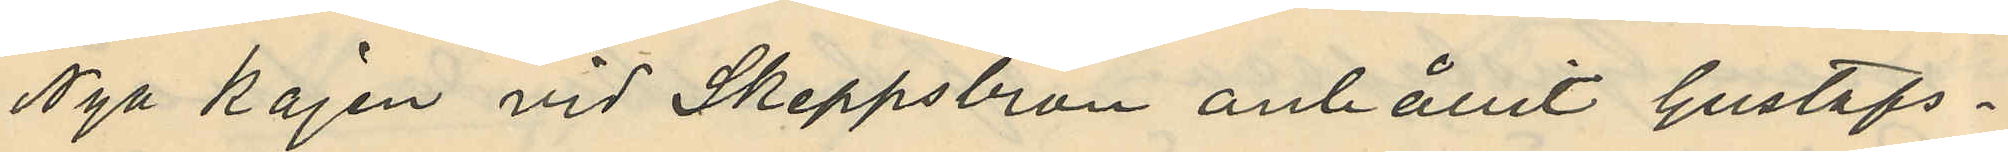Nya kajen vid Skeppsbron anhållit Gustafs¬
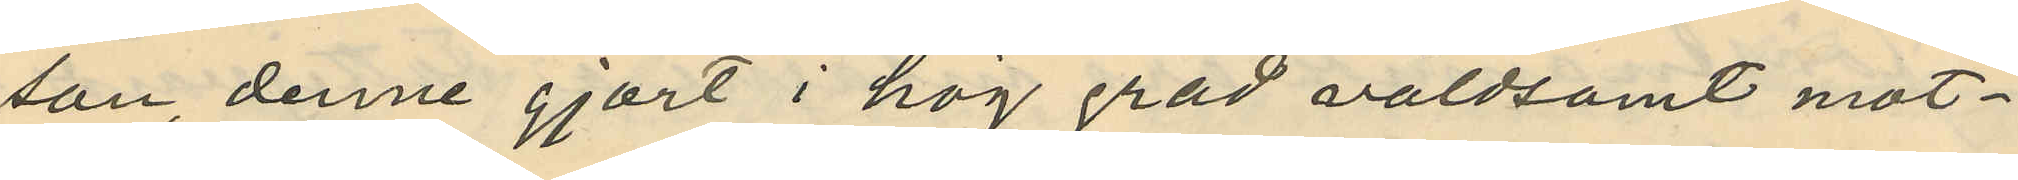son, denne gjort i hög grad våldsamt mot¬
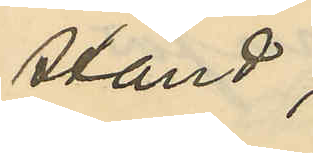stånd;
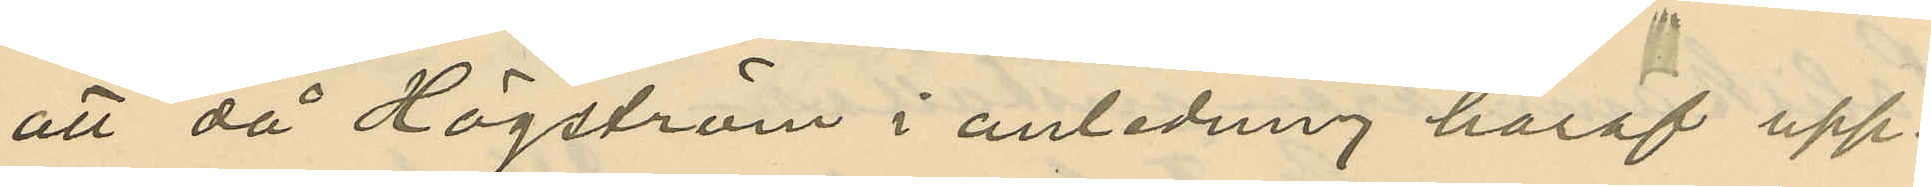att då Högström i anlednng häraf upp¬
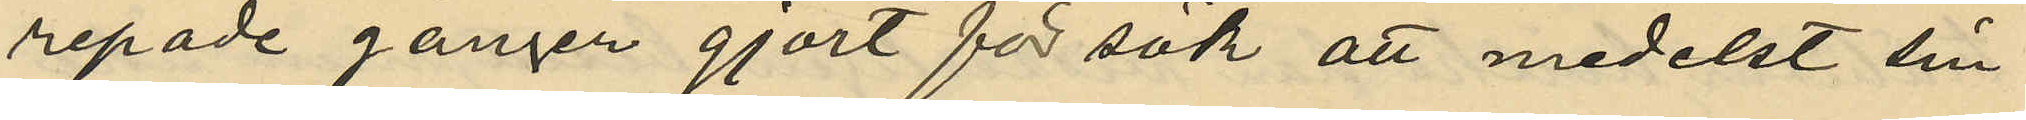repade gånger gjort försök att medelst sin
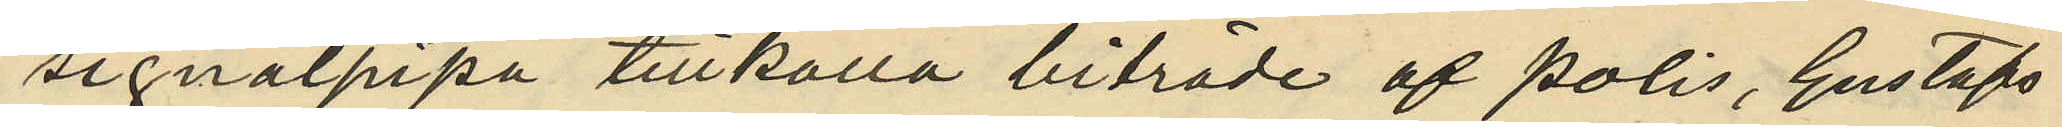signalpipa tillkalla biträde af polis, Gustafs¬
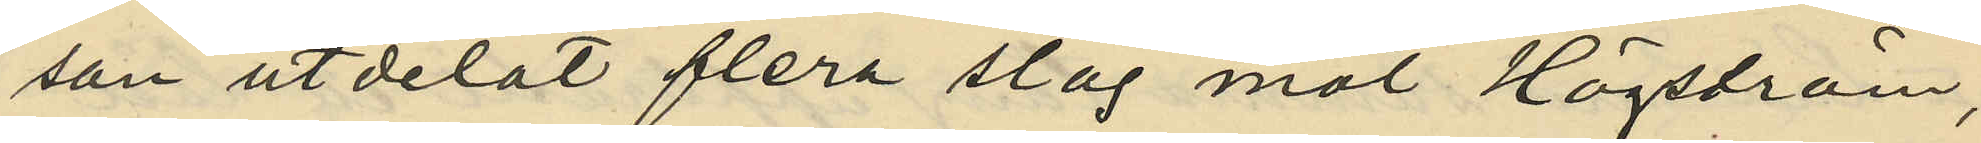son utdelat flera slag mot Högström,
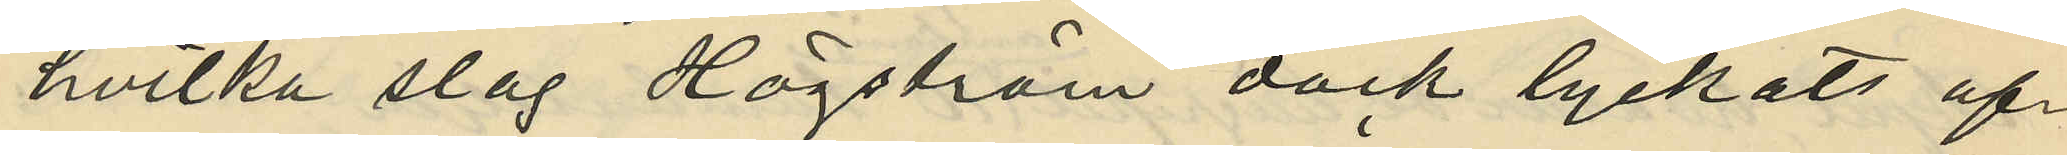hvilka slag Högström dock lyckats af¬
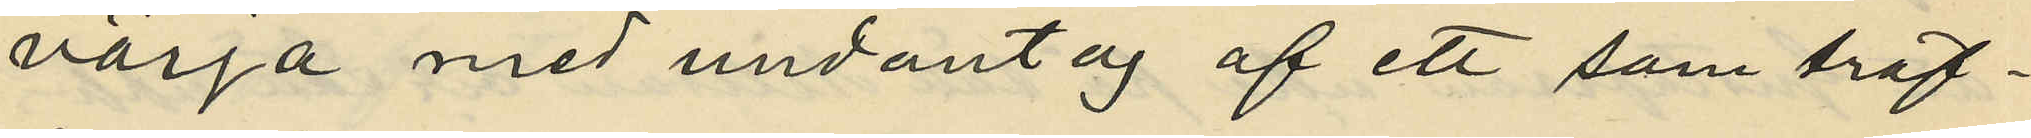värja med undantag af ett som träf¬
